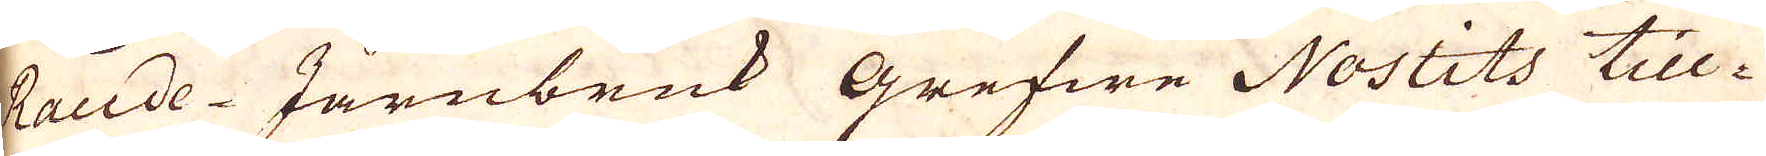Raude-Järnbruk grefwe Nostits till-
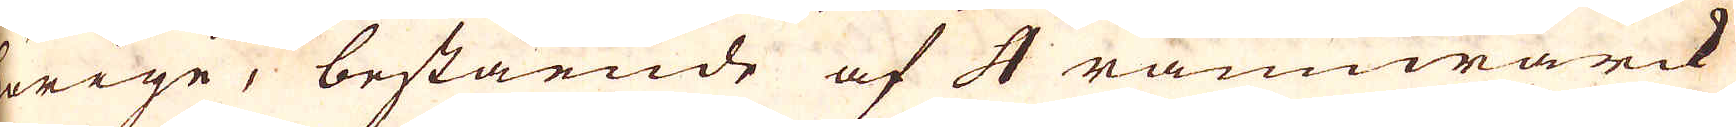hörige, bestående af 4 rämwärck
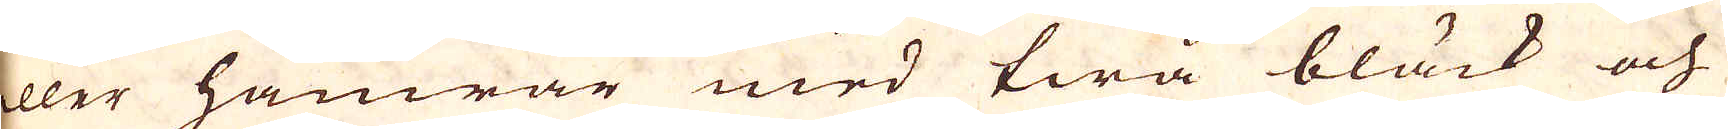eller hamrar med twå bläck och
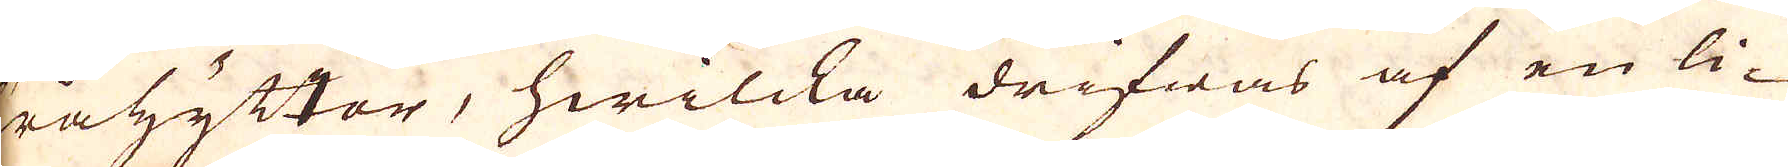Trähyttor, hwilcka drifwas af en li-
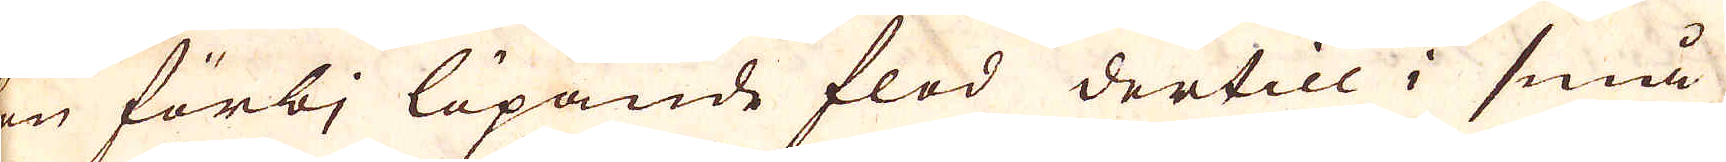ten förbj löpande flod dertill i små
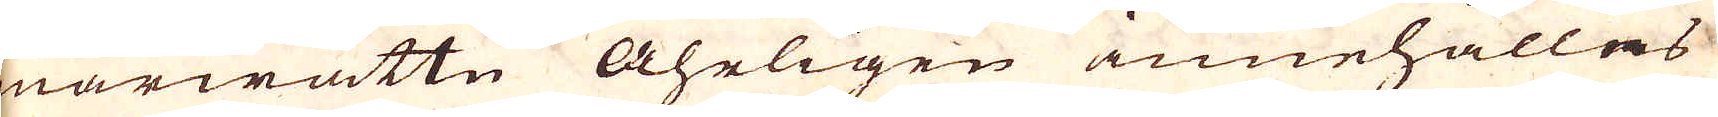smärwattn Åhrligen innehålles
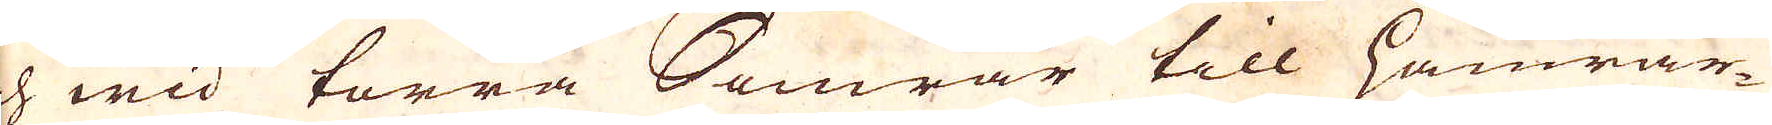och wid torra Somrar till hamrar-
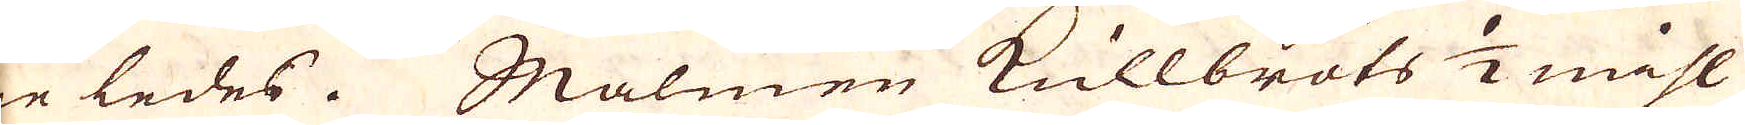ne ledes. Malmen kullbröts 1/2 mihl
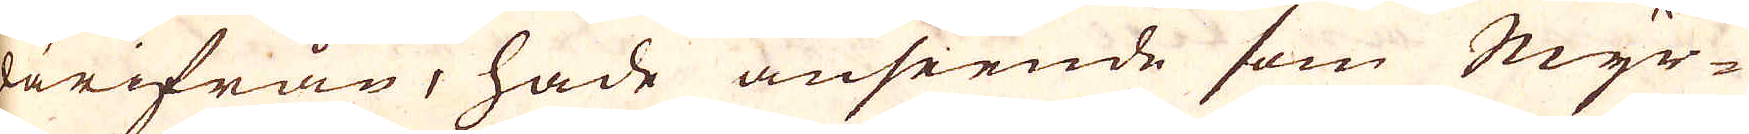därifrån, hade anseende som Myr-
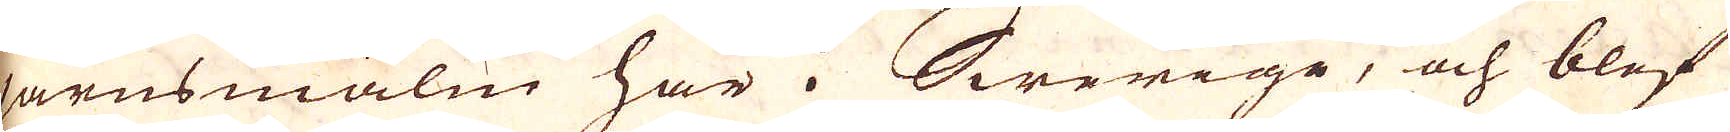järnsmalm här i Swerige, och blef
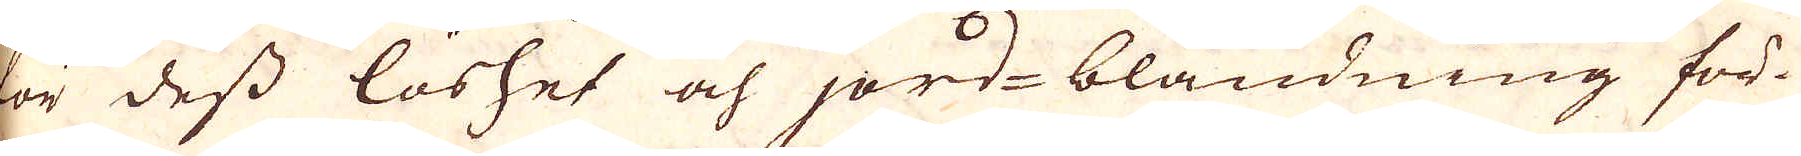för dess löshet och jord-bländning för-
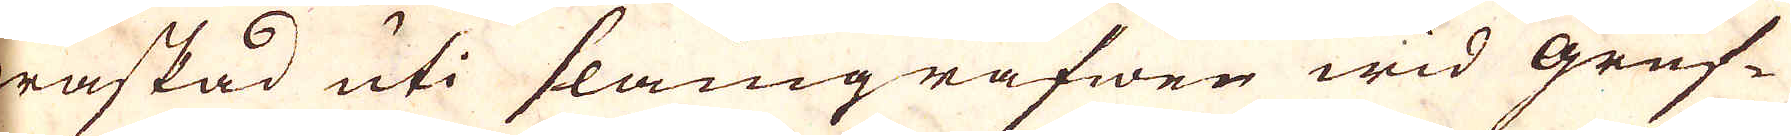waskad uti slamgrafwen wid gruf-
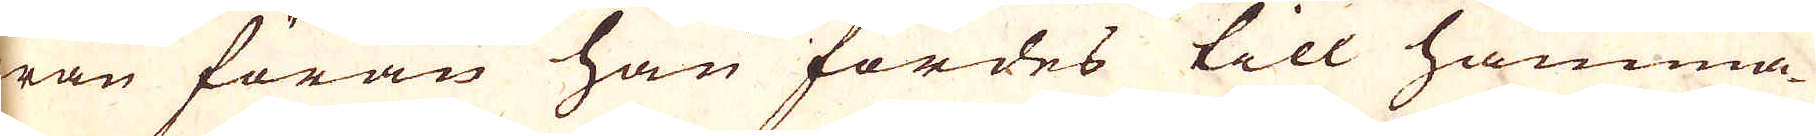wan förän han fördes till hamma-
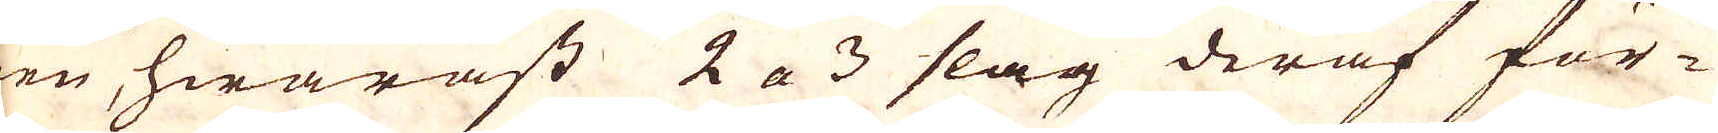ren, hwarast 2 a 3 slag deraf för-
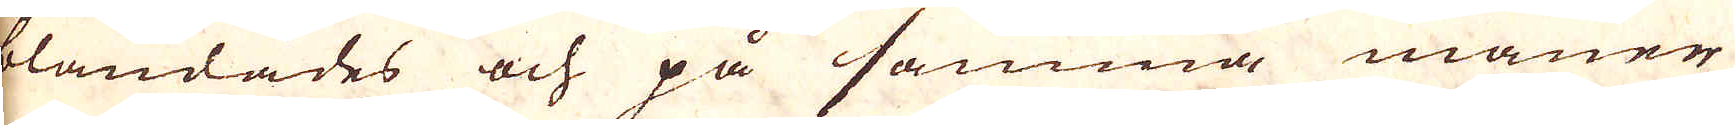blandades och på samma maner
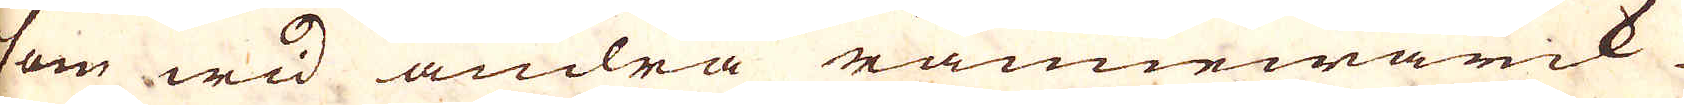som wid andra rämmwärck
